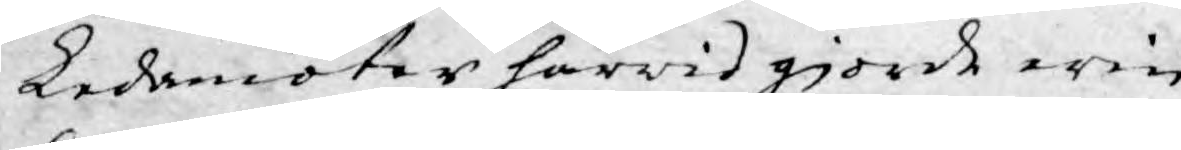Ledamöter härwid gjorde erin¬
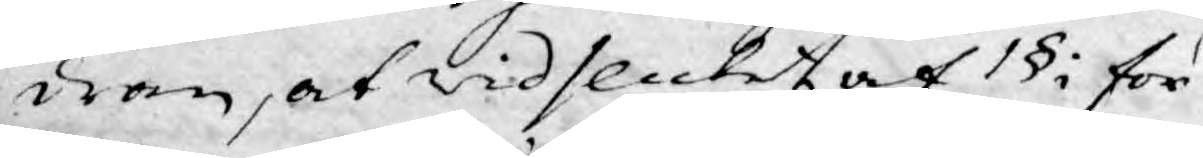dran, at wid slutet af 1§: för
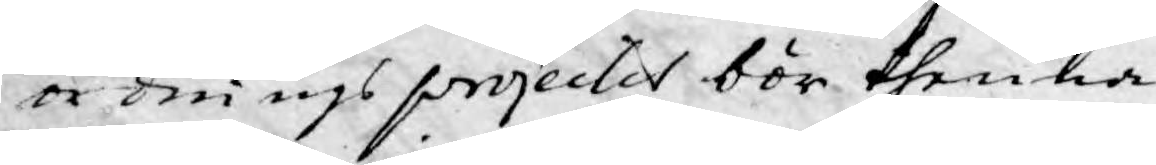ordnings projectet bör thenna
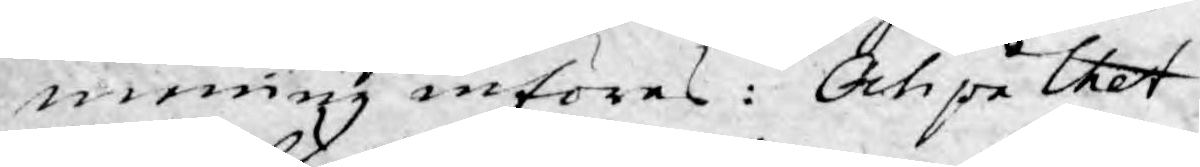mening införes: Och på thet
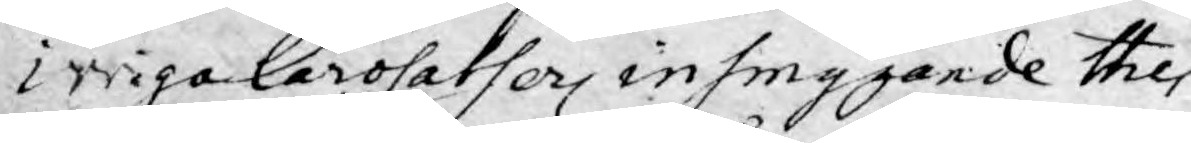ivriga lärosatser insmygande the
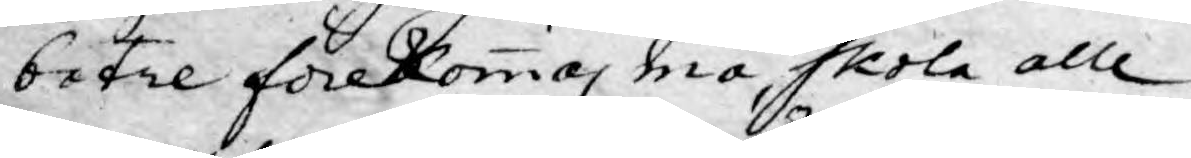betre förekommas må, skola alle
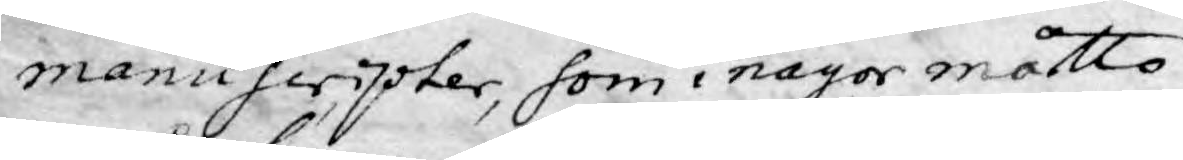manuscripter, som i någor måtto
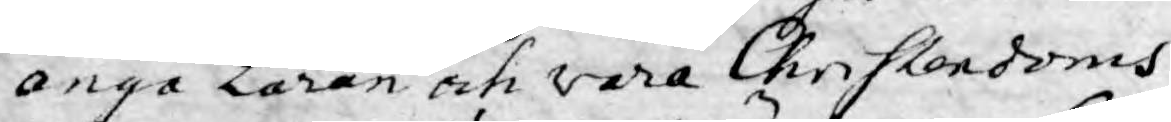angå Läran och vara Christendoms
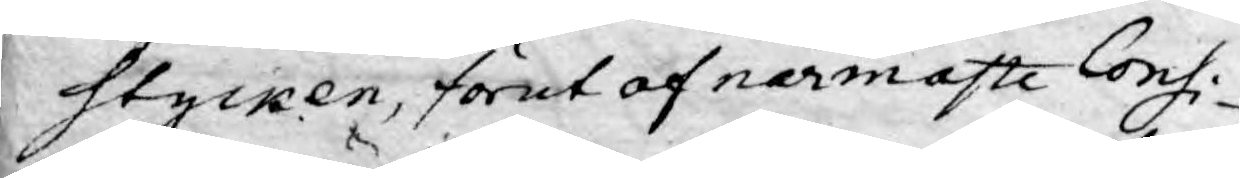Stycken, förut af närmaste Consi-
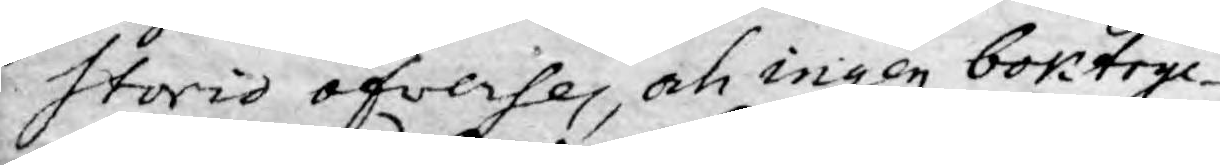storis öfverses, och ingen boktryc¬
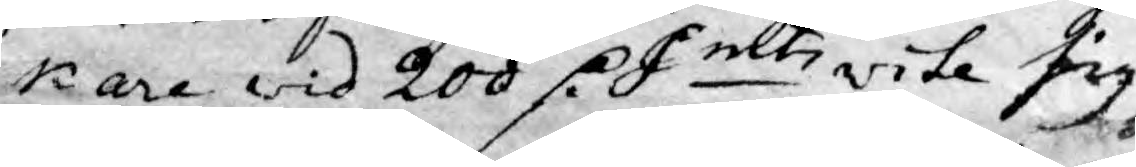kare wid 200 D. Smts vite sig
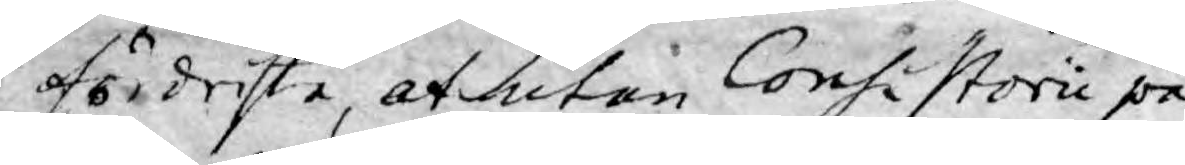fördrista, at utan Consistorii på¬
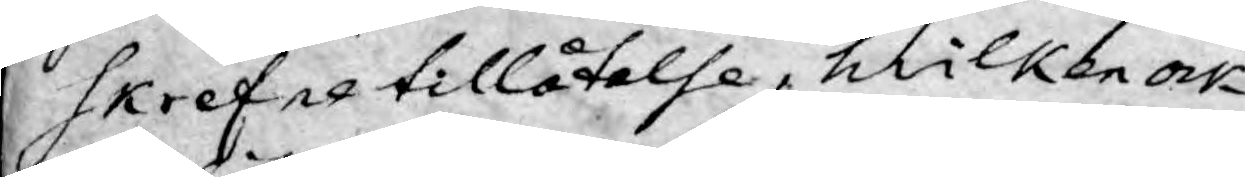skrefne tillåtelse, hwilken av
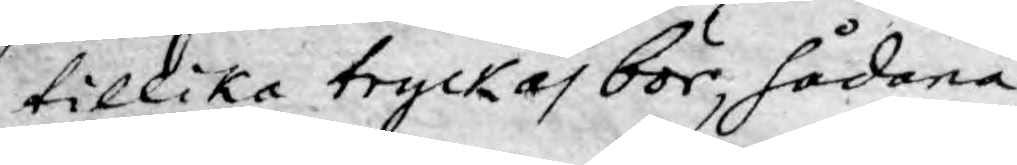tillika tryckas bör, sådana
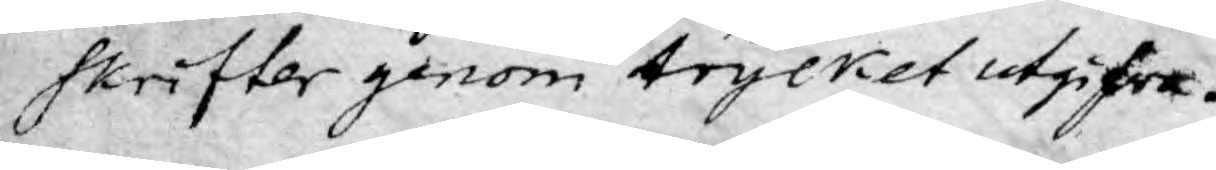skrifter genom trycket utgifwa.
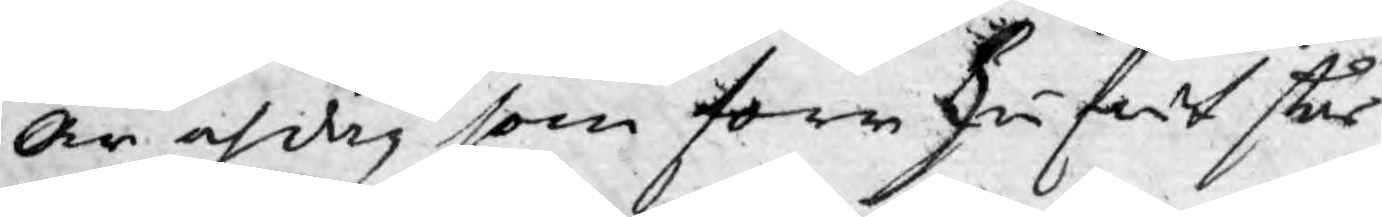år och dag som forrskrifwt står
